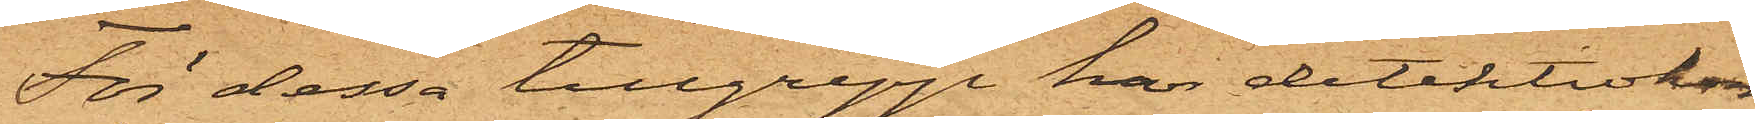För dessa tillgrepp har detektivkon¬
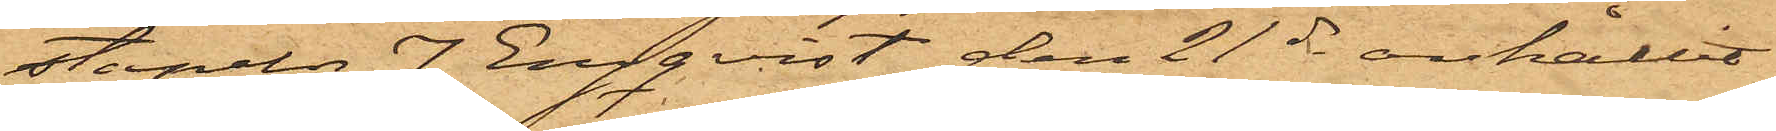stapeln J Engqvist den 21 ds anhållit
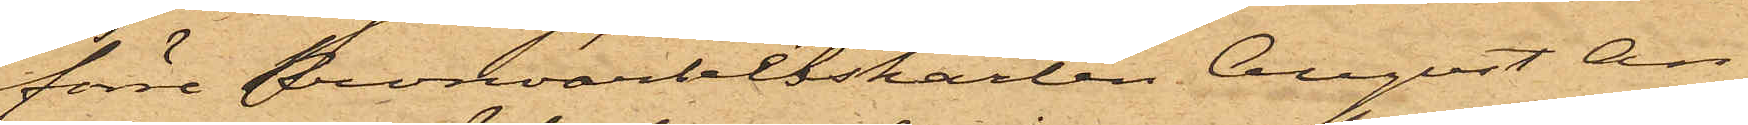förre kronoarbetskarlen August An¬
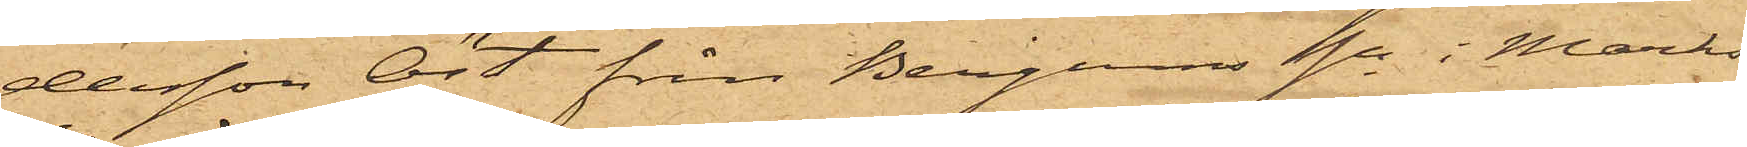dersson Öst från Bergums sn i Marks
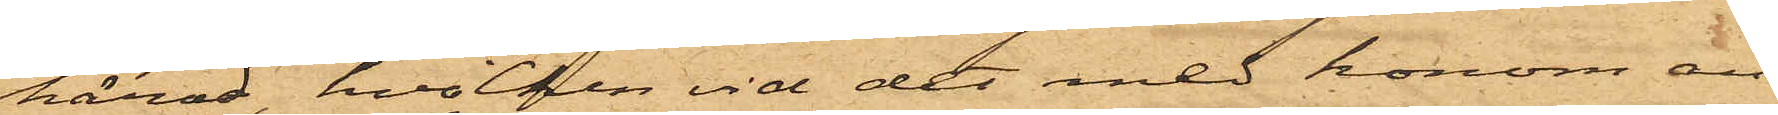härad, hvilken vid det med honom an¬
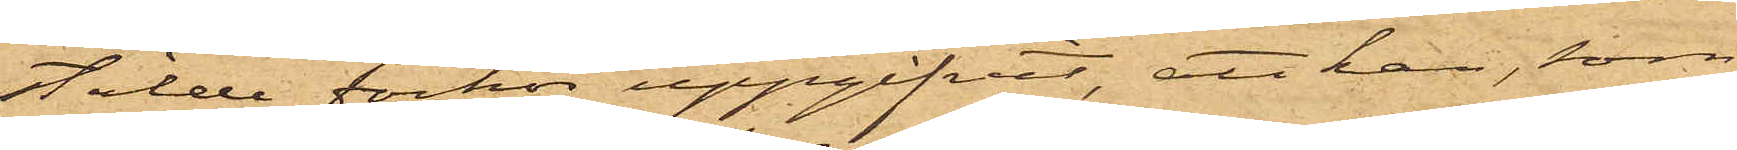stälde förhör uppgifvit, att han, som
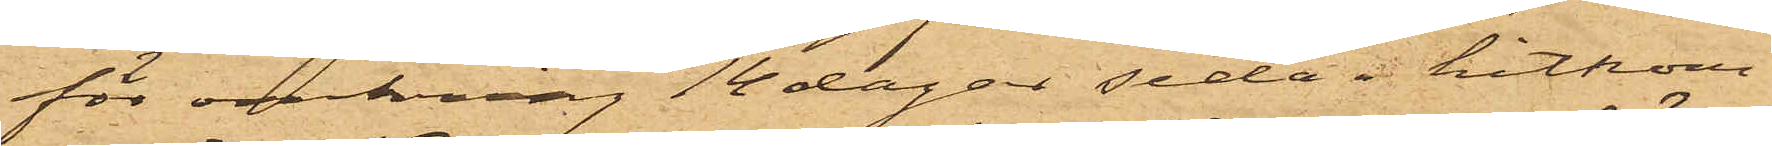för omkring 14 dagar sedan  hitkom¬
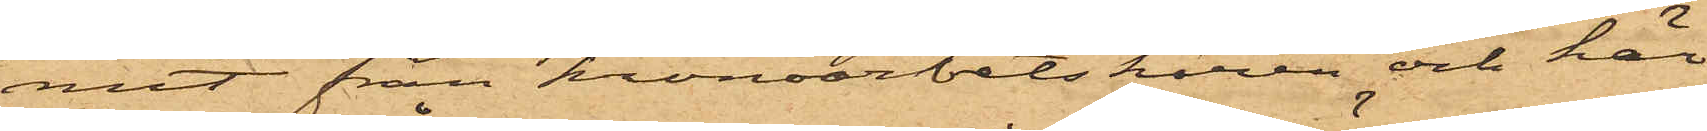mit från kronoarbetskåren och här
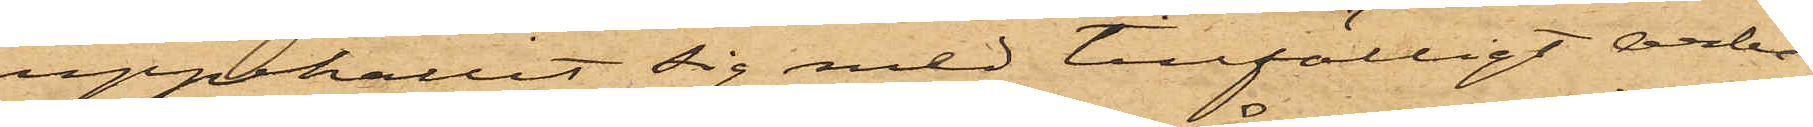uppehållit sig med tillfälligt arbe¬
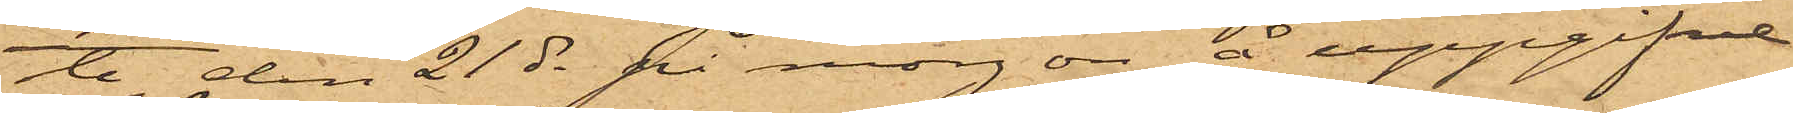te, den 21 ds på morgon å uppgifne
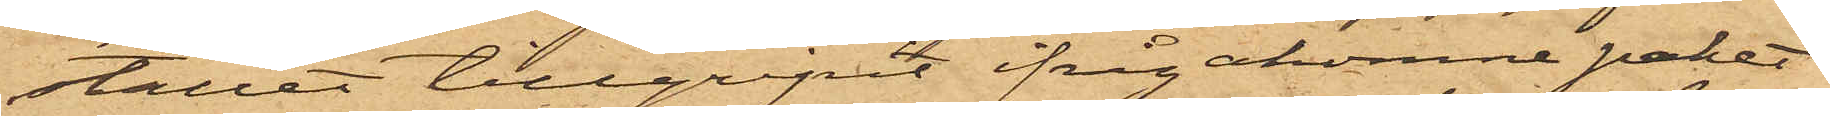stället tillgripit ifrågakomne paket
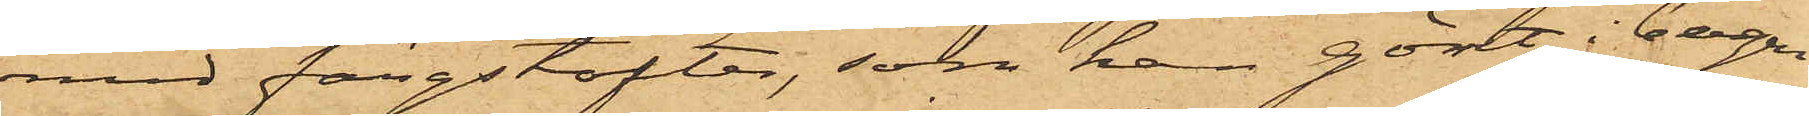med färgstofter, som han gömt i bergen
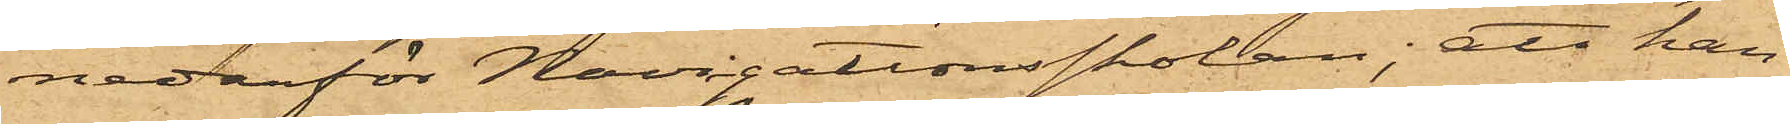nedanför Navigationsskolan; att han
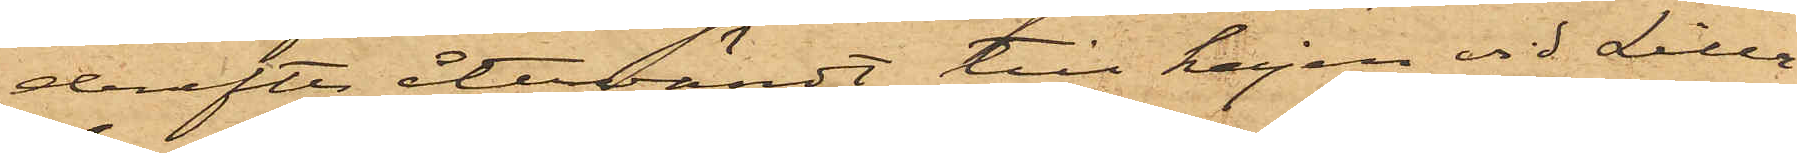derefter återvändt till kajen vid Lilla
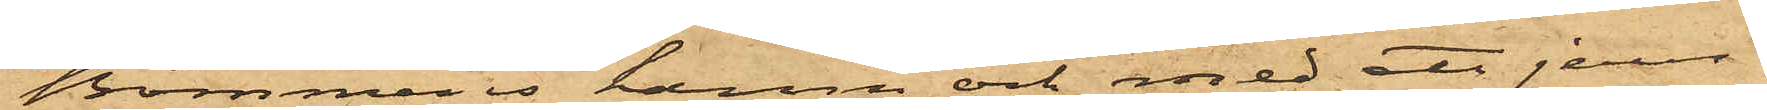Bommens hamn och med ett jern¬
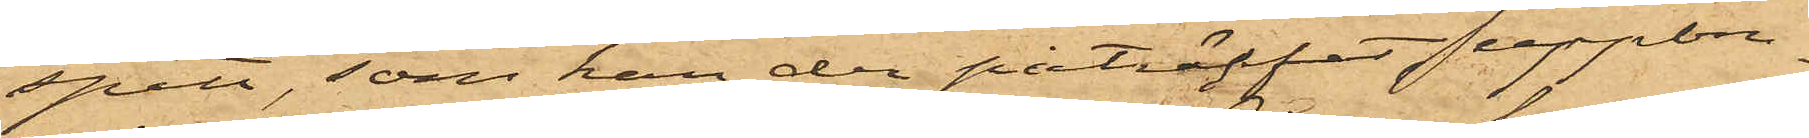spett, som han der påträffat, uppbru¬
